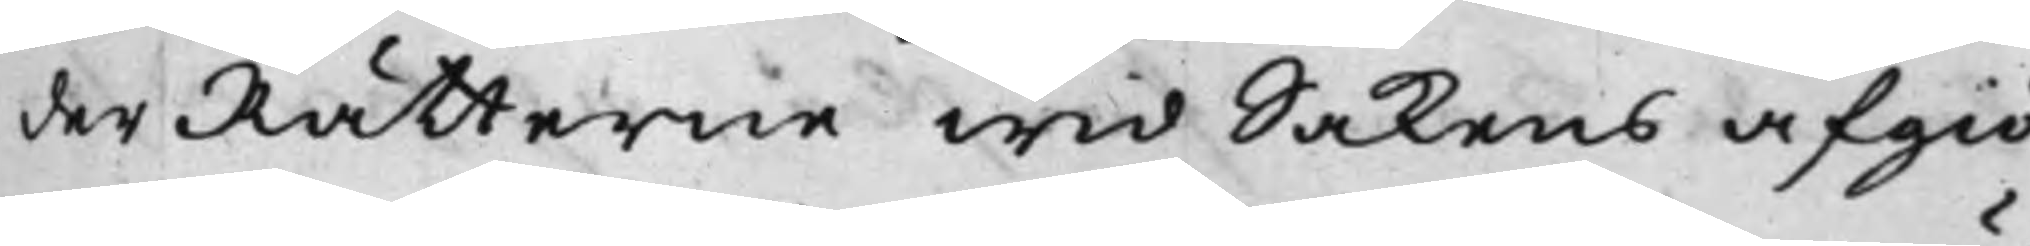derRätterne wid Sakens afgiö¬
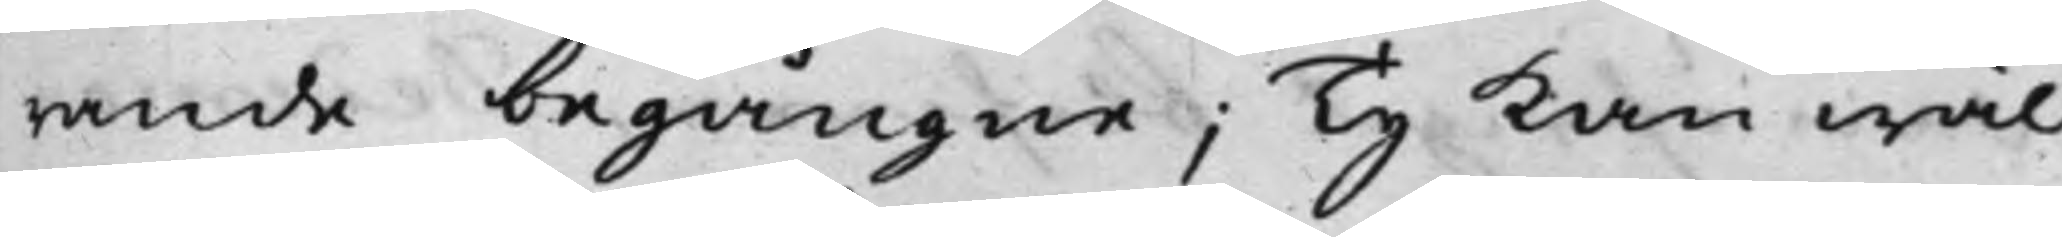rande begångne; Ty kan wäl
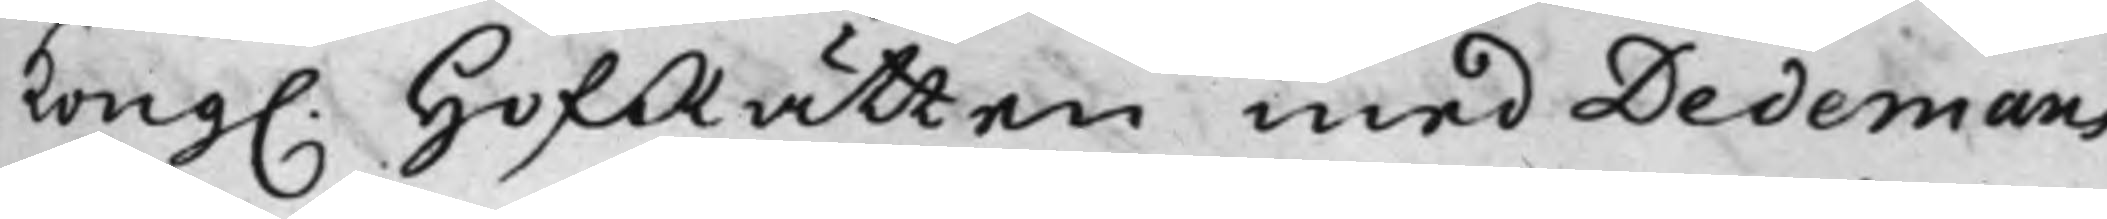Kong. HofRätten med Dedemans
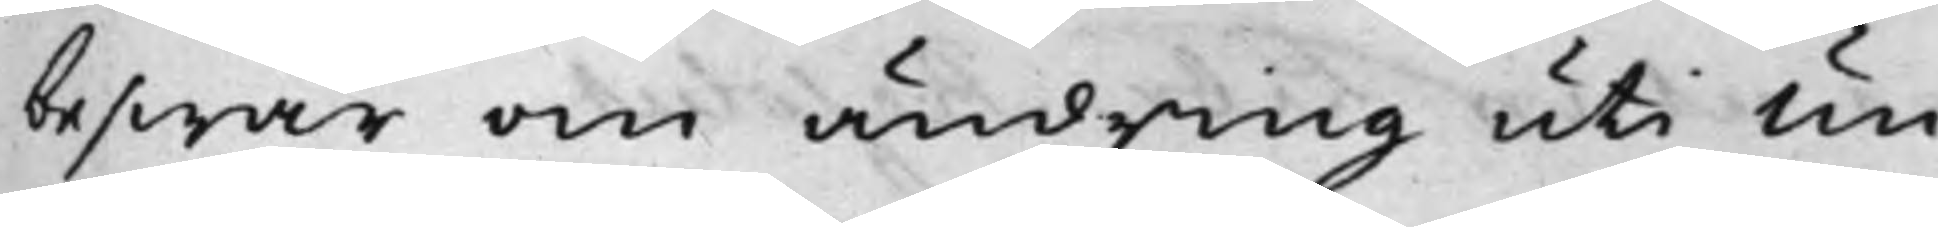beswär om ändring uti Un¬
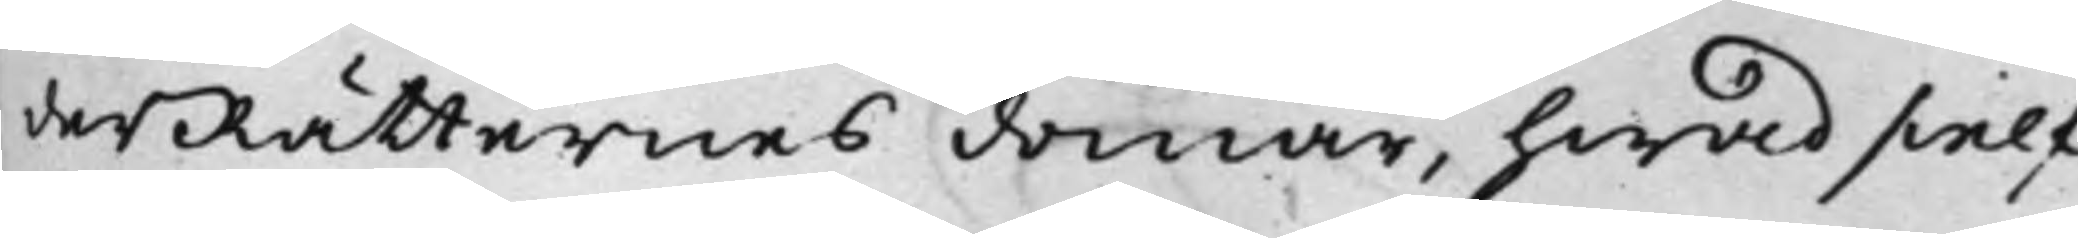derRätternes domar, hwad sielf¬
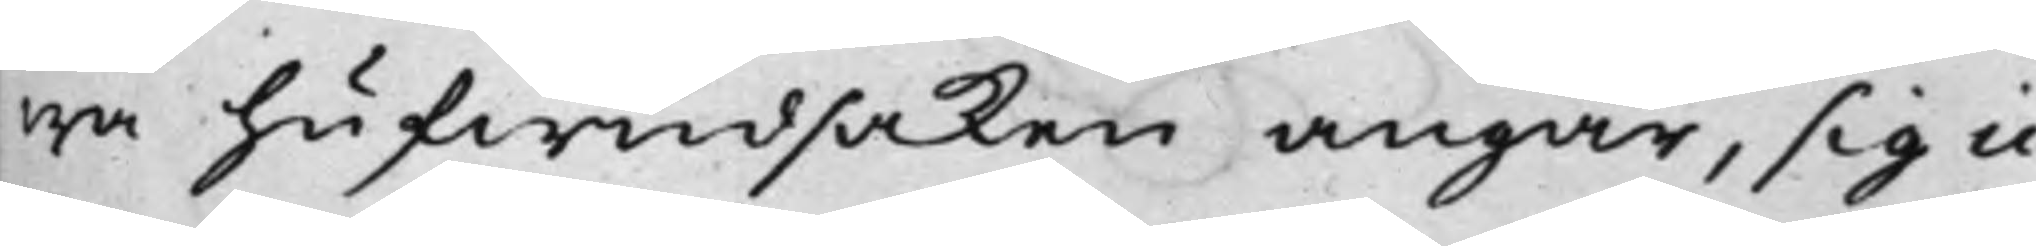wa hufwudsaken angår, sig ic¬
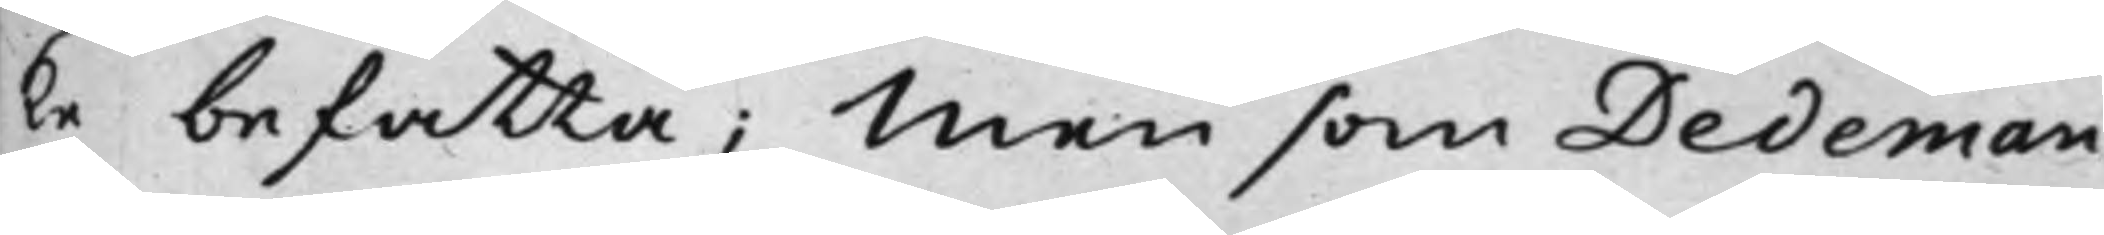ke befatta; Men som Dedeman
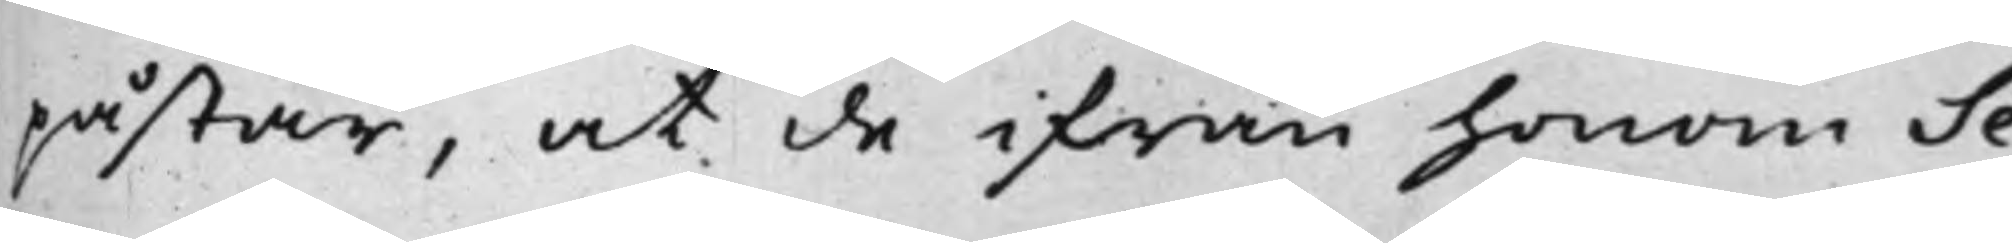påstår, at de ifrån honom Se¬
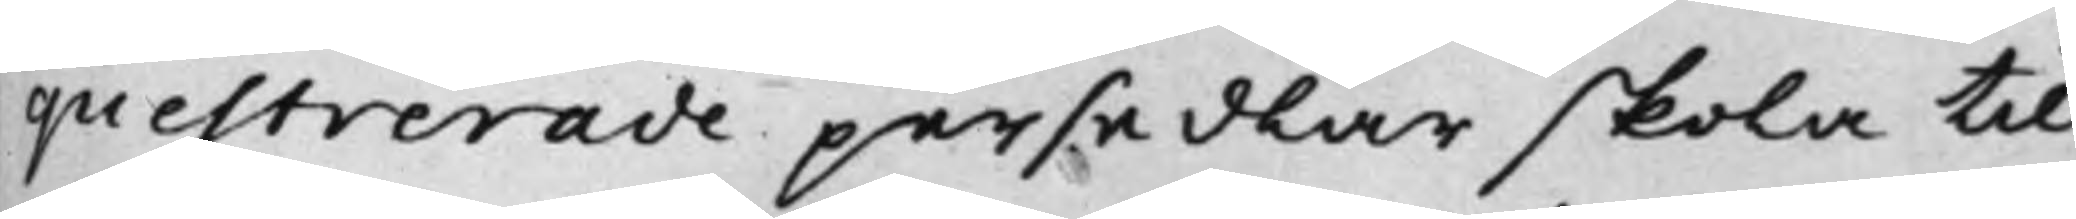questrerade persedlar skola till
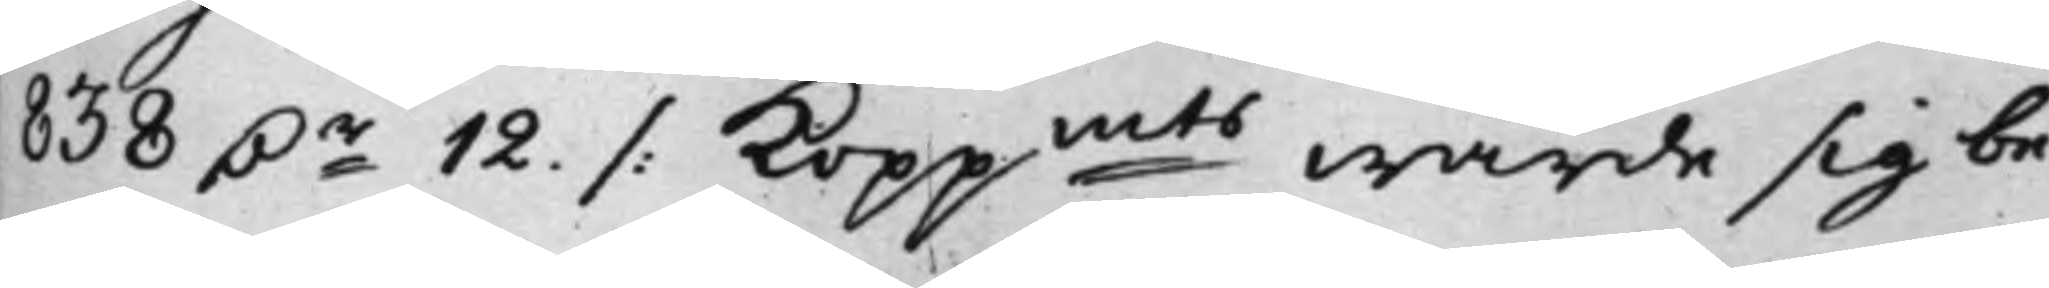838 D.r 12 ./. Koppmts wärde sig be¬
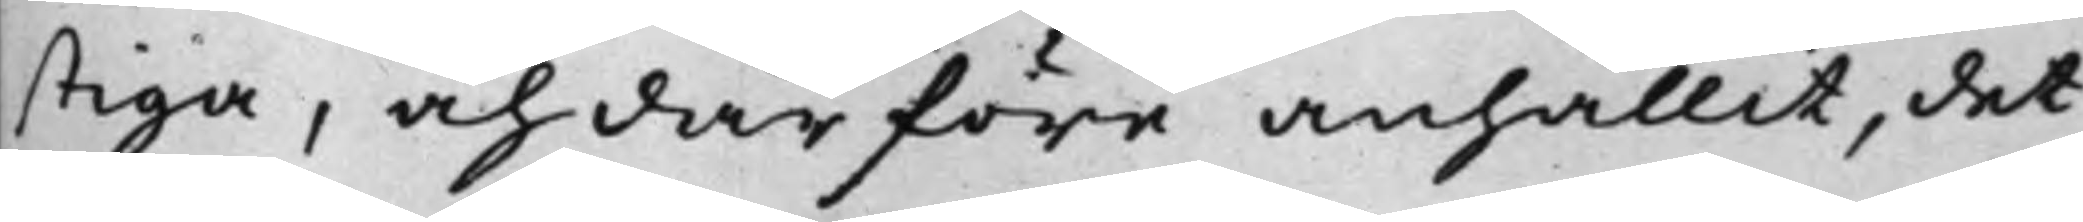stiga, och därföre anhållit, det
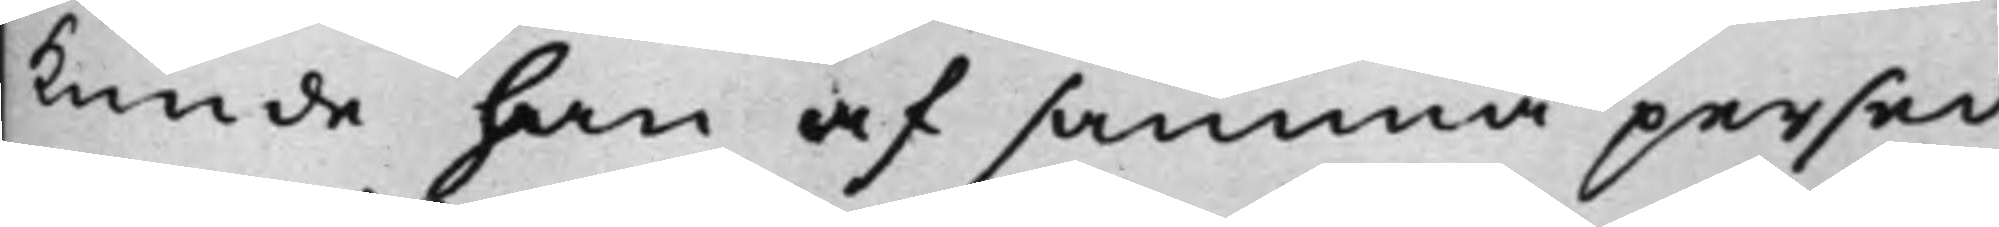kunde han af samma persed¬
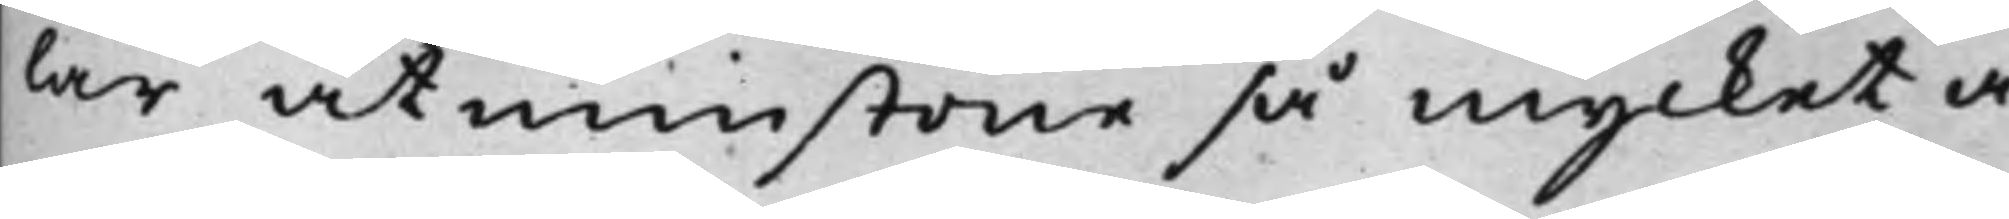lar åtmistone så mycket å¬
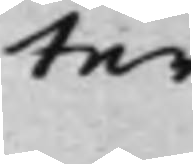ter¬
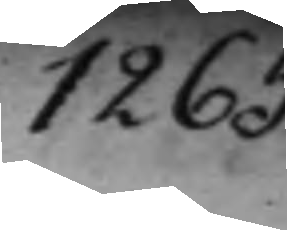1265.
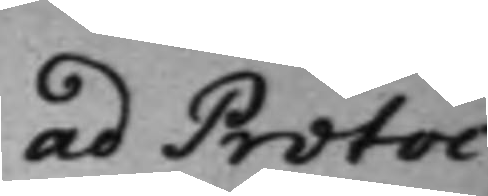ad Protoc.
